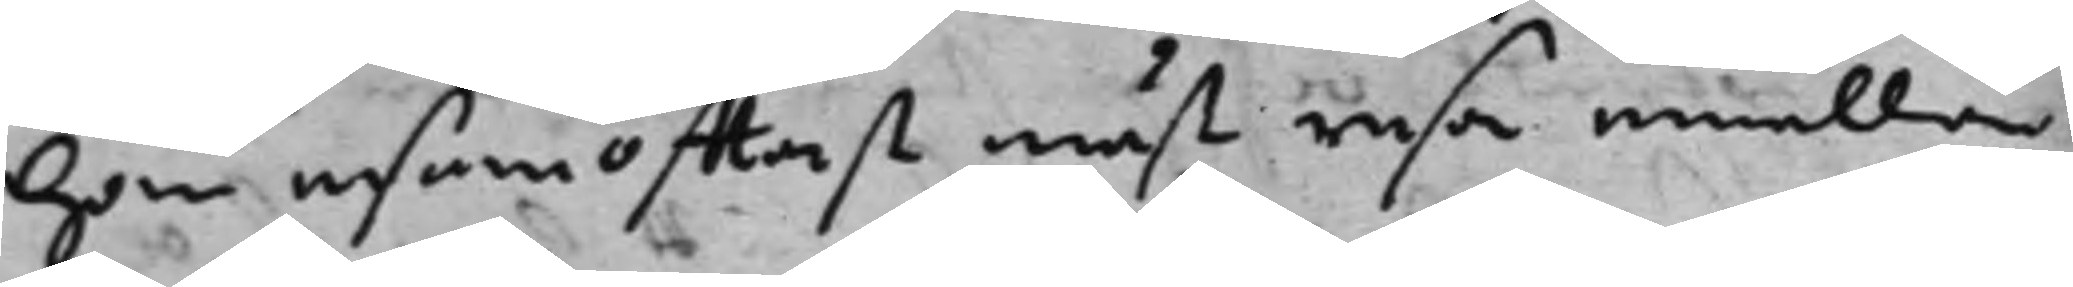han ensam offtast måst resa emellan
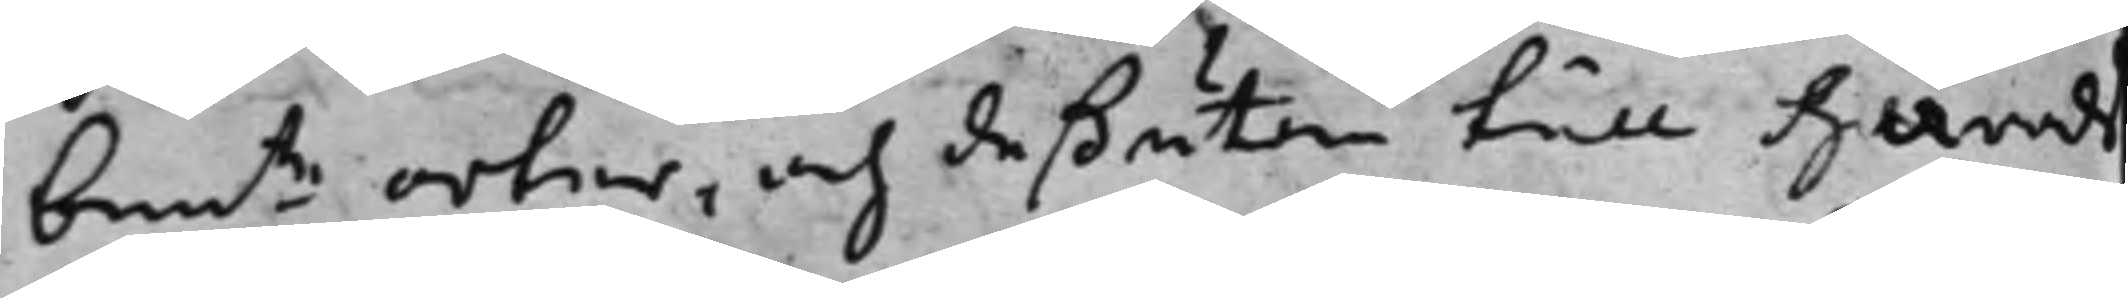bemte orter, och deßutom till Härads¬ 
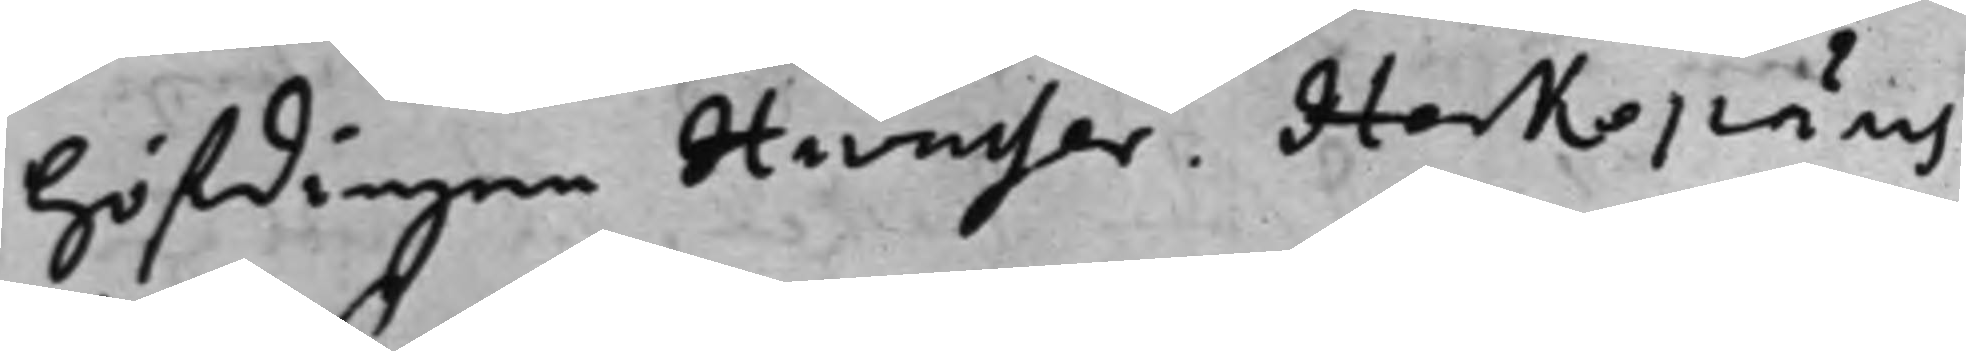höfdingen Hwasser. Herkepäus
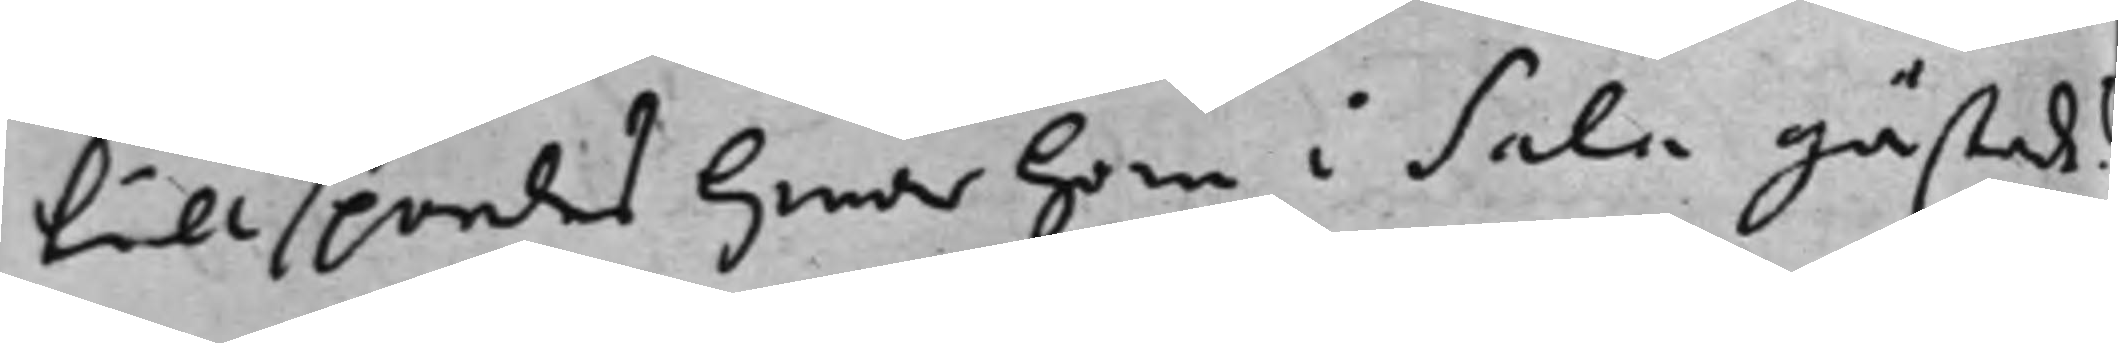tillspordes hwar han i Sala gästade?
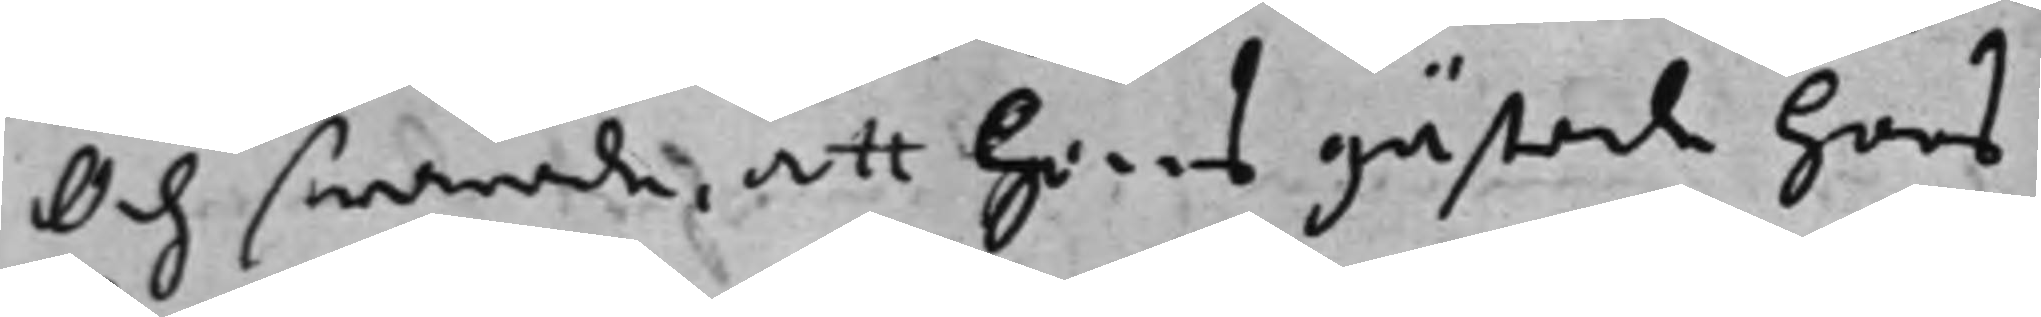Och swarade, att hans gästade hoos
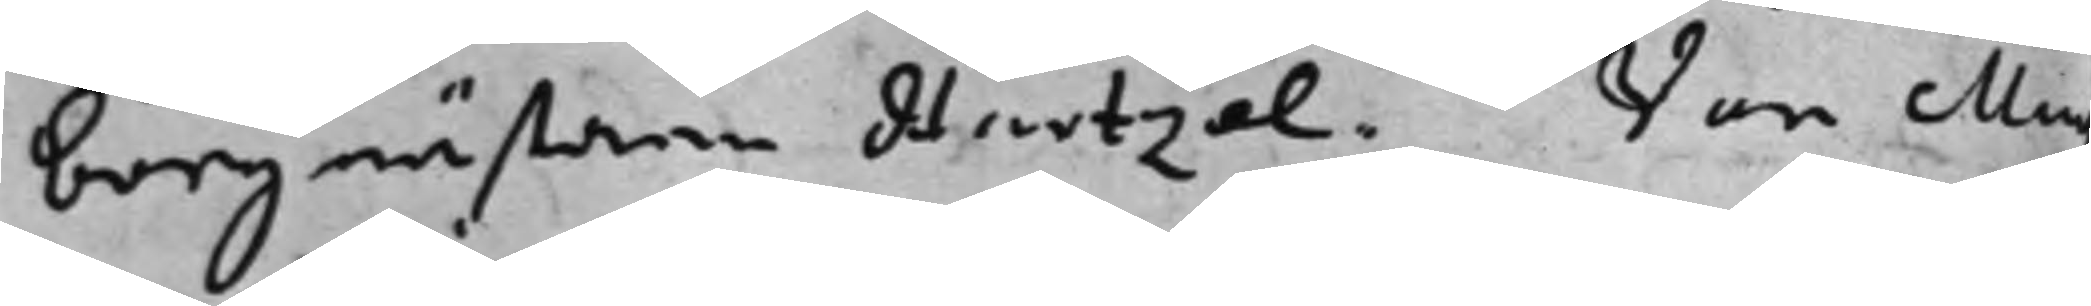borgmästarn Hartzel. Von Muy¬
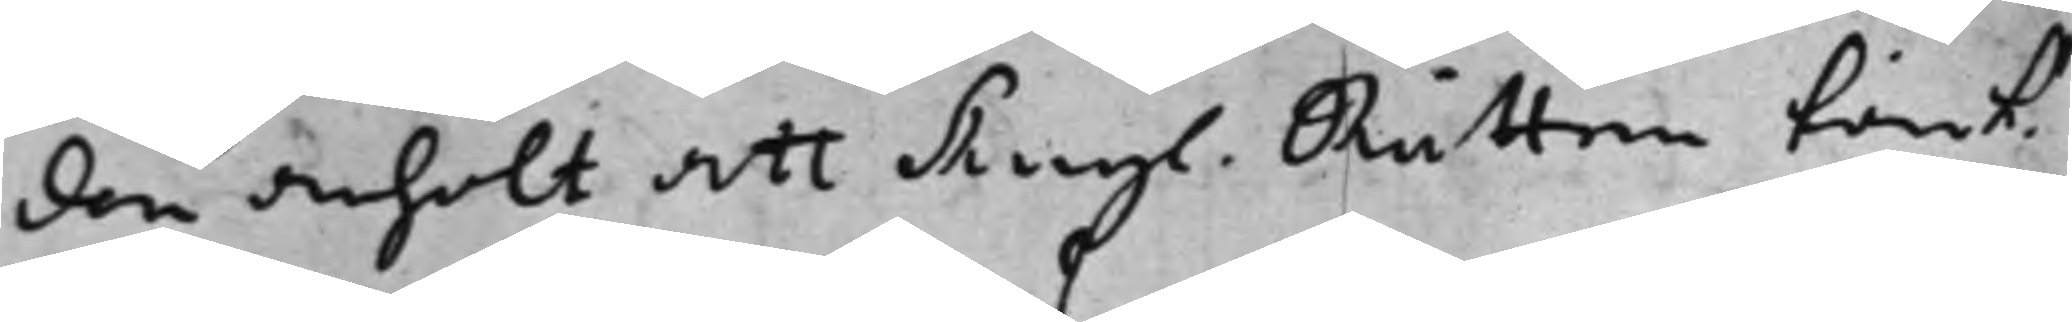den anhölt att Kongl. Rätten tänk¬ 
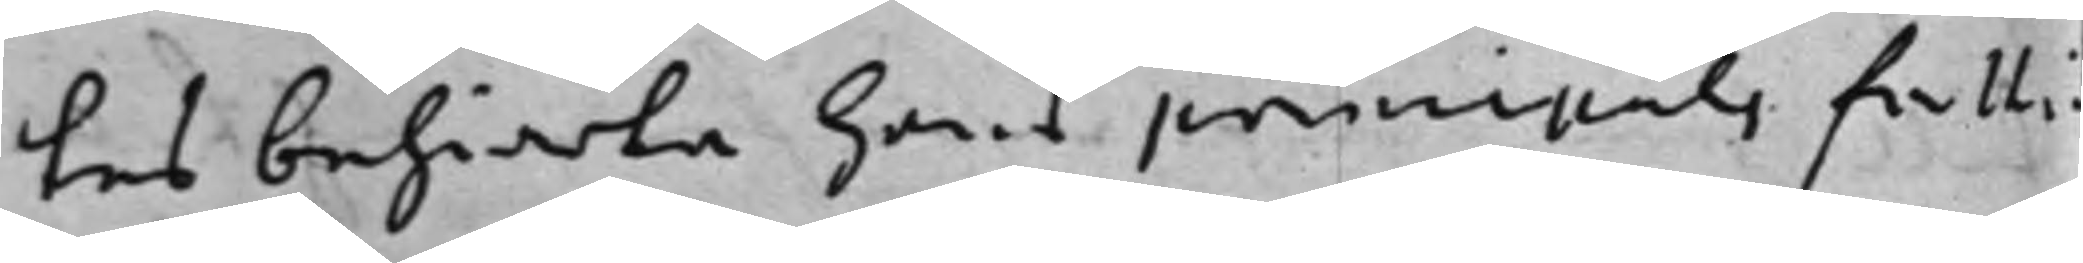tes behiärta hans principals fatti¬
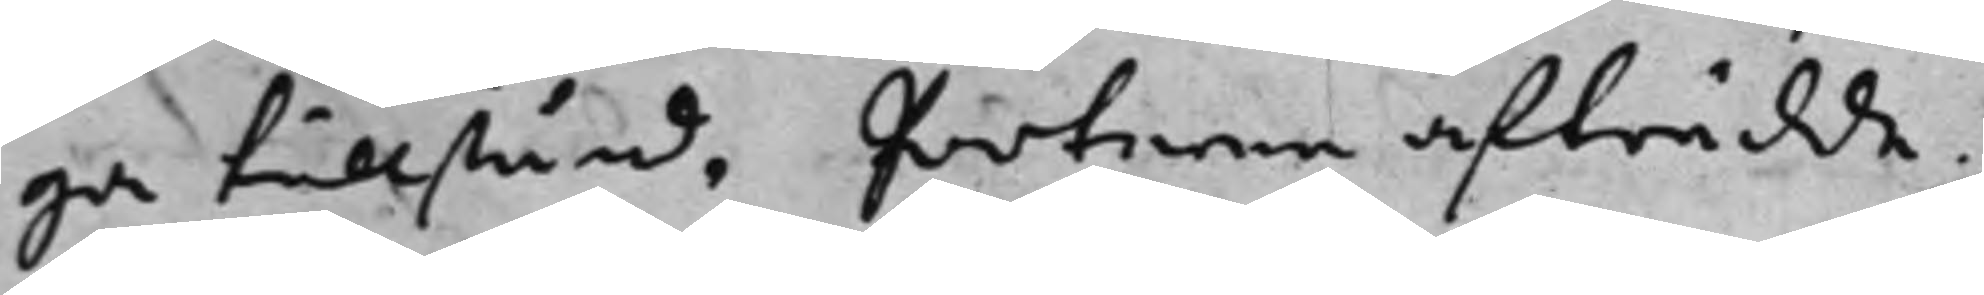ga tillstånd, Parterna afträdde.
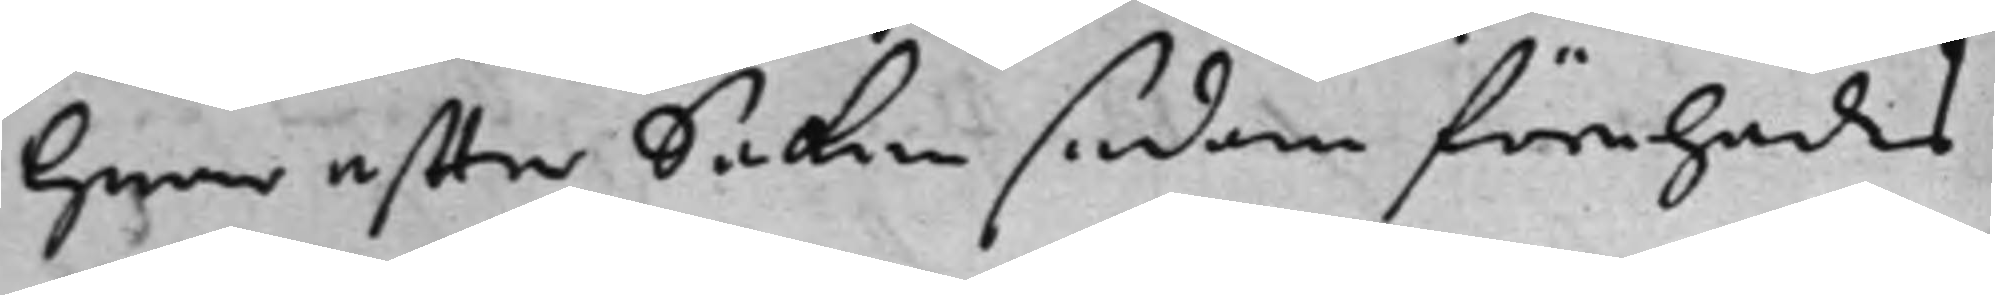hwar effter Saken sedan förehades
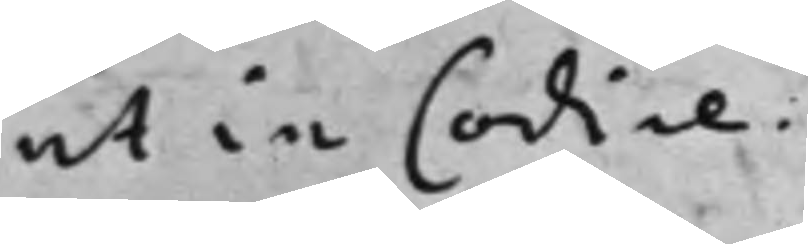ut in Codice.
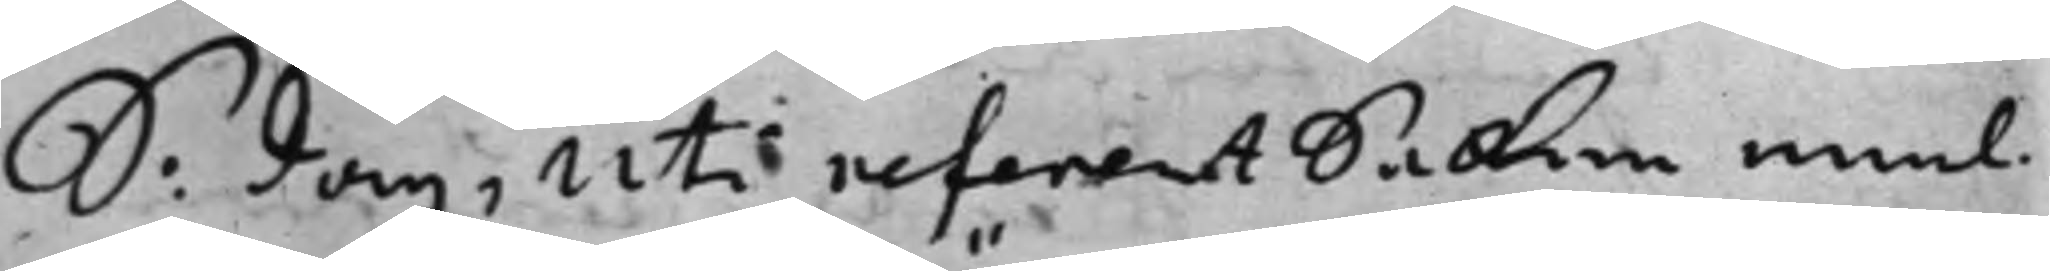S: dag, Uti referent Saken emel¬ 
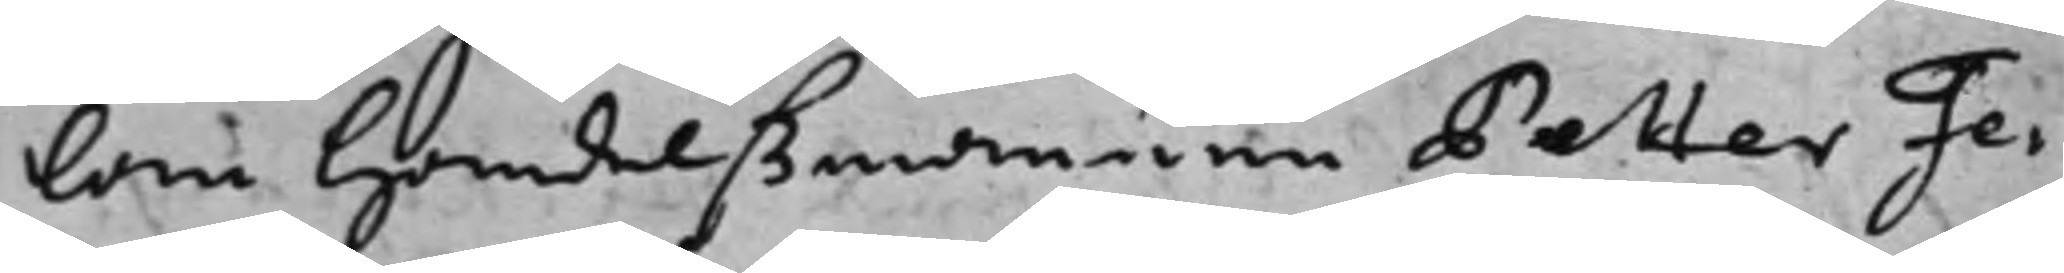lan Handelßmännen Petter Fe¬
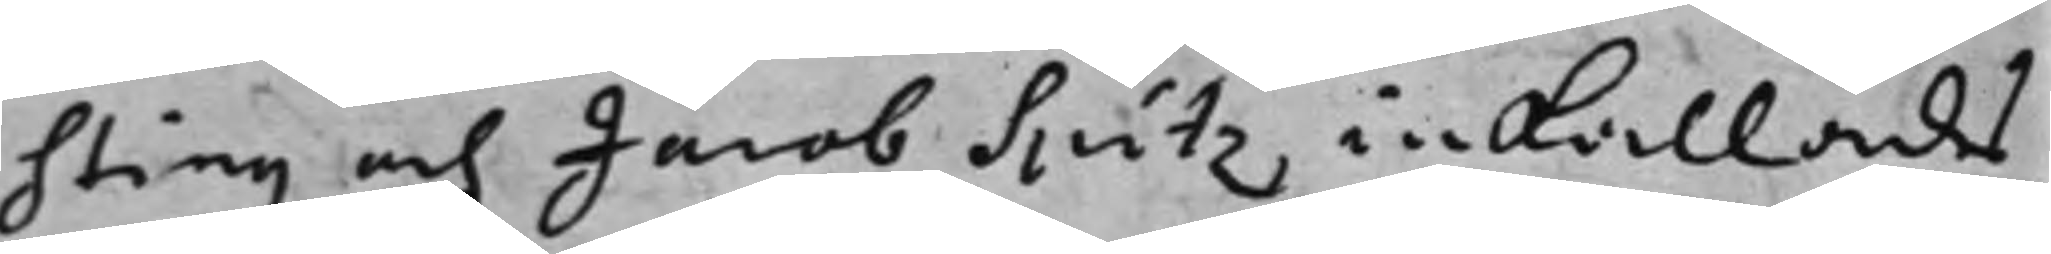sting och Jacob Spitz inkallades
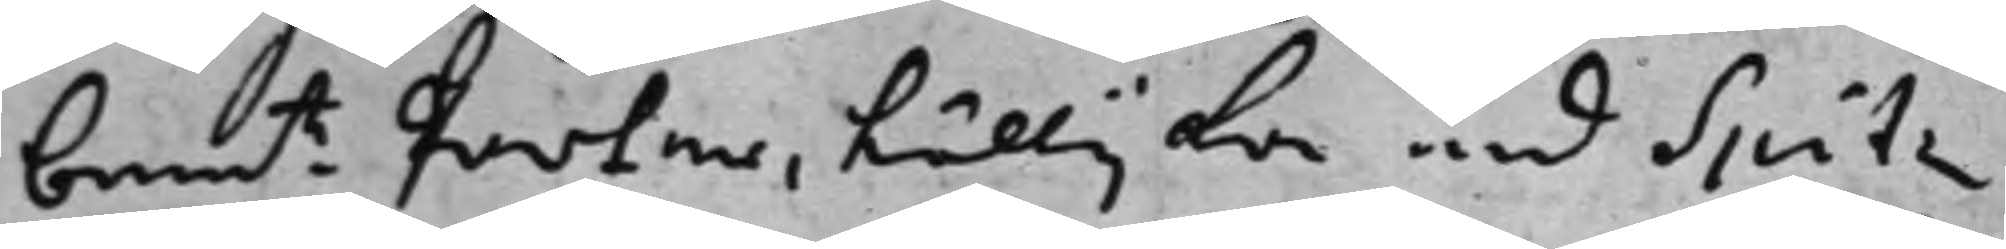ben:te Parter, tillijka med Spitz
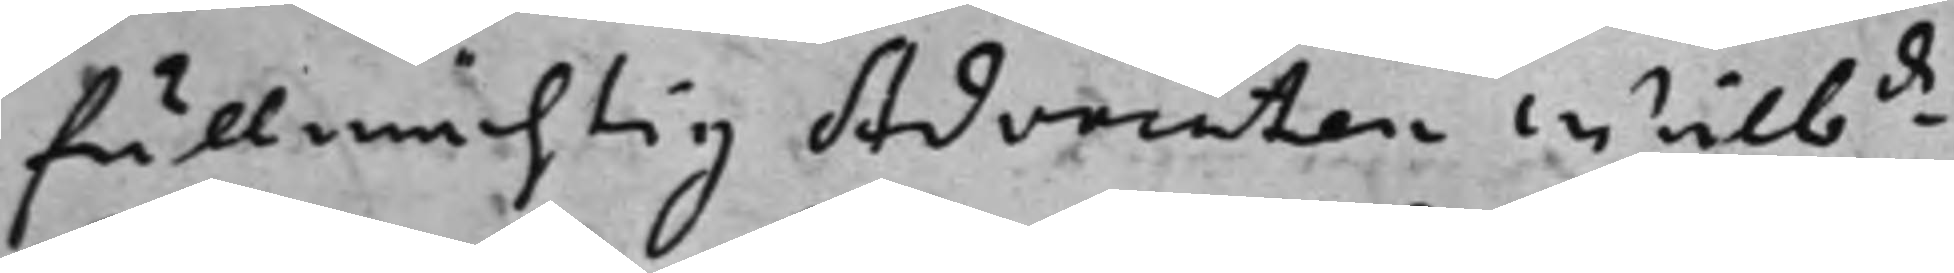fullmächtig Advocaten Wälb:de 
